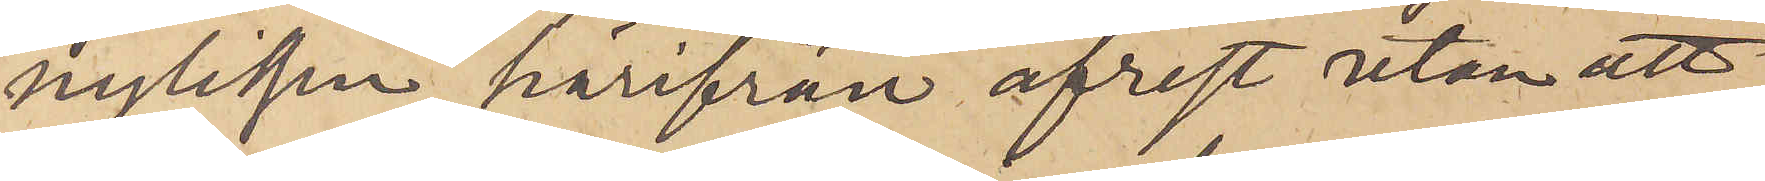nyligen härifrån afrest utan att
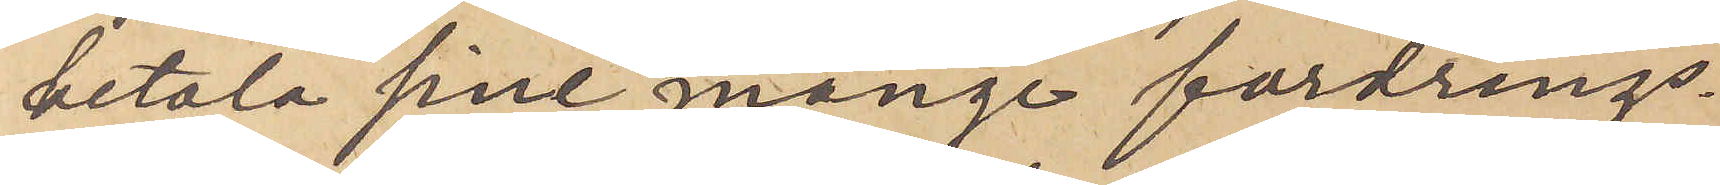betala sine månge fordrings¬
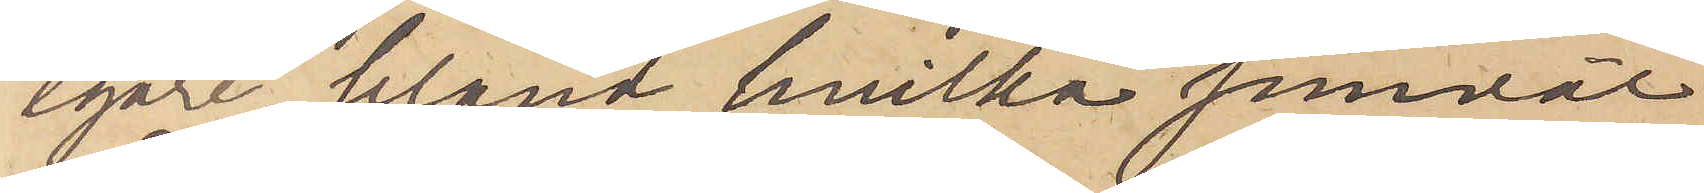egare, bland hvilka jemväl
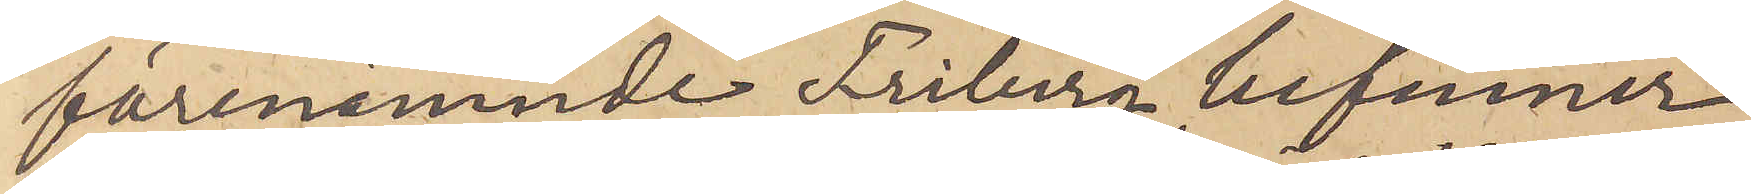förenämnde Friberg befinner
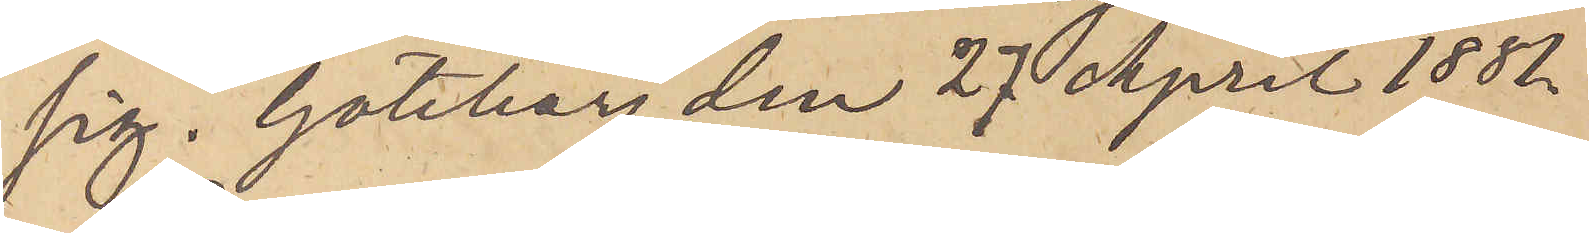sig. Göteborg den 27 April 1881.
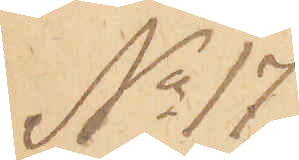No 17
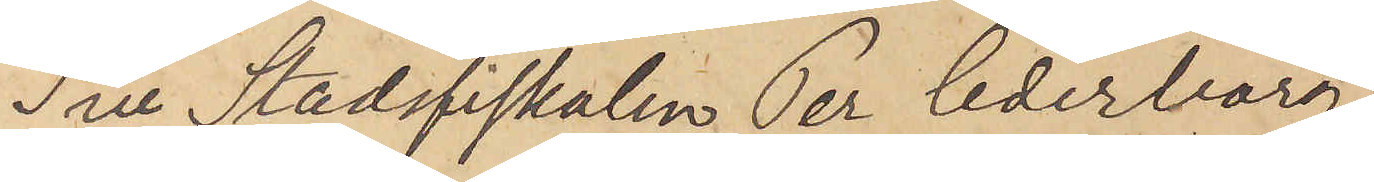Till Stadsfiskalen Per Cederborg
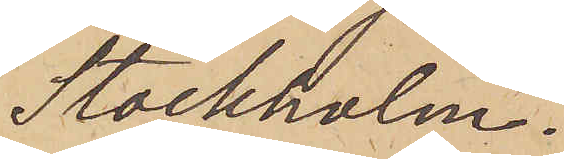Stockholm.
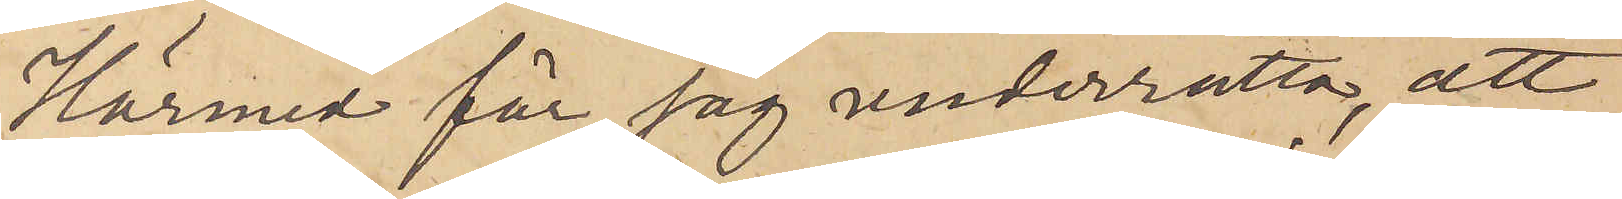Härmed får jag underrätta, att
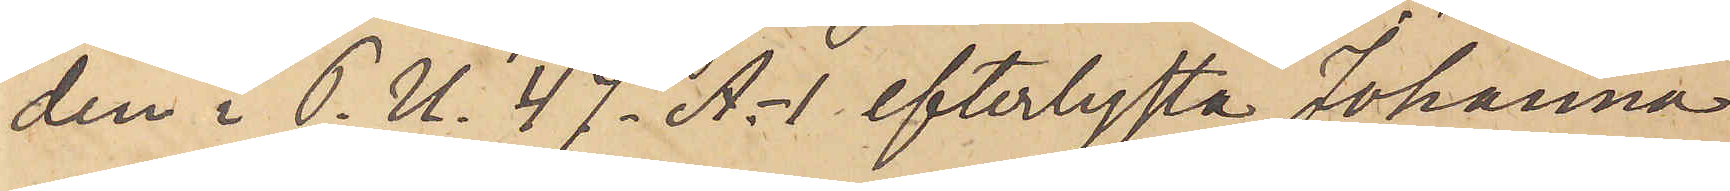den i P. U. 47. A.- 1 efterlysta Johanna
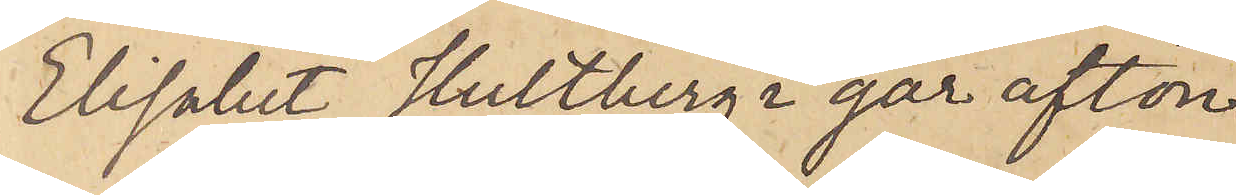Elisabet Hultberg i går afton
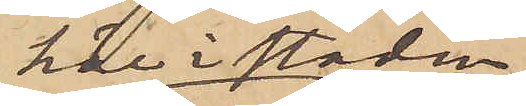här i staden
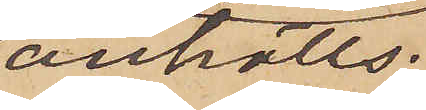anhölls,
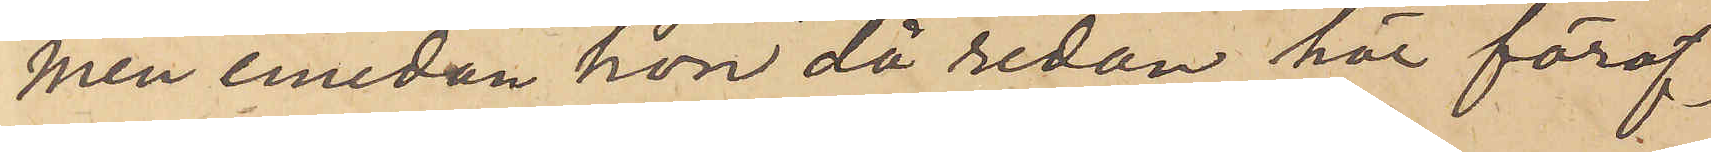men emedan hon då redan här föröf¬
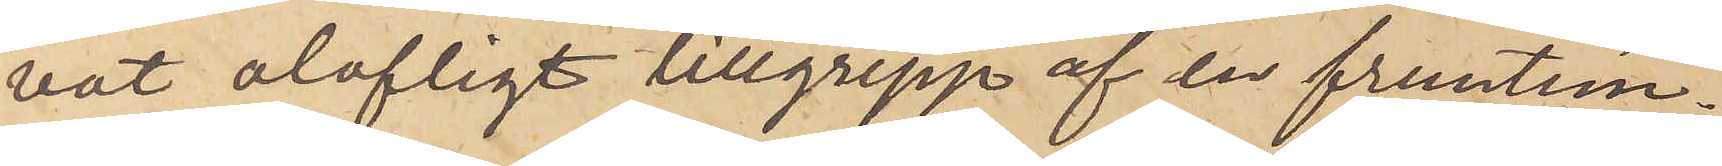vat olofligt tillgrepp af en fruntim¬
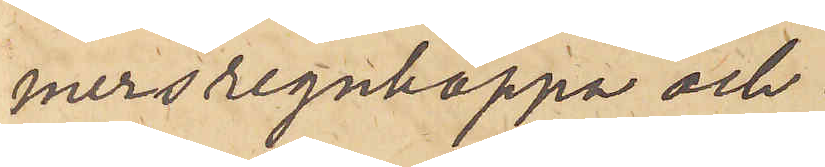mersregnkappa och
